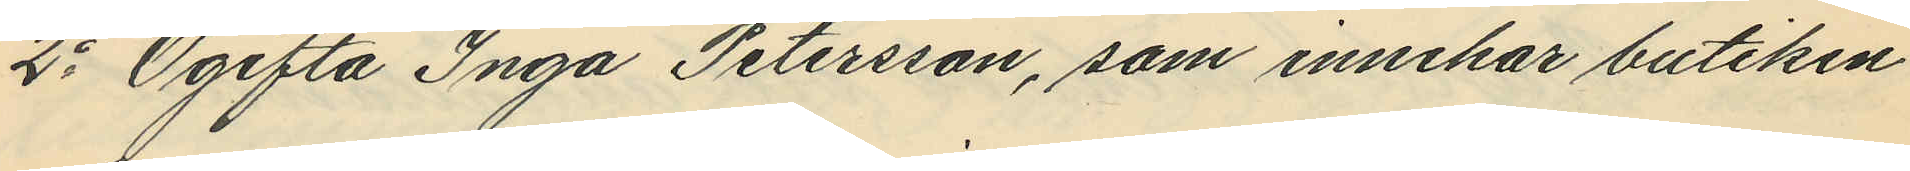2o Ogifta Inga Petersson, som innehar butiken
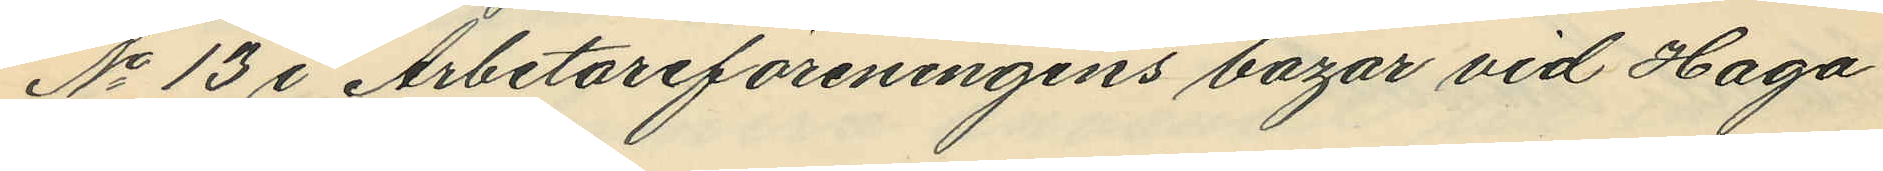No 13 i Arbetareföreningens bazar vid Haga
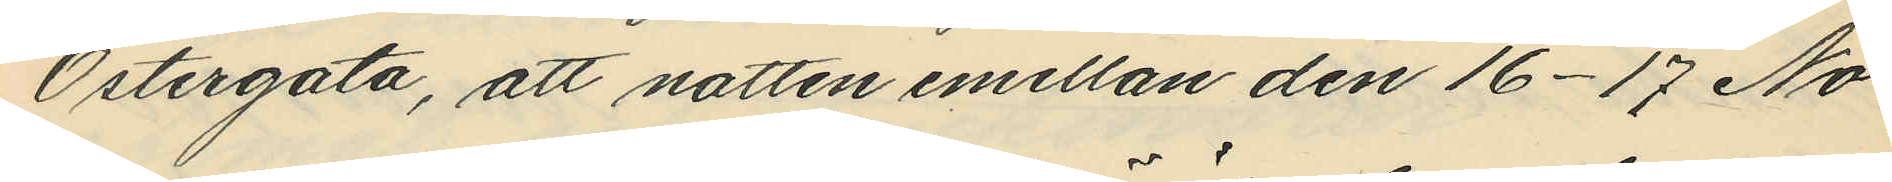Östergata, att natten emellan den 16-17 No¬
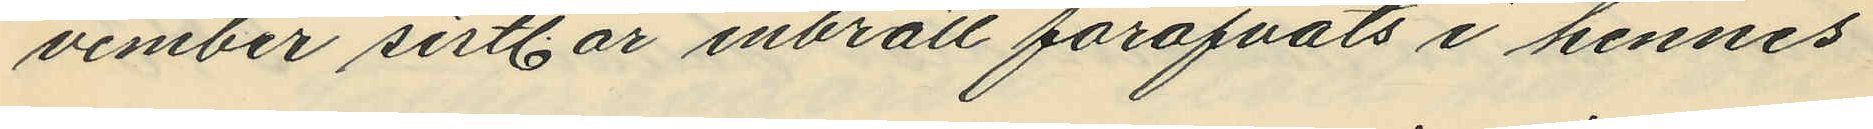vember sist. år inbrott föröfvats i hennes
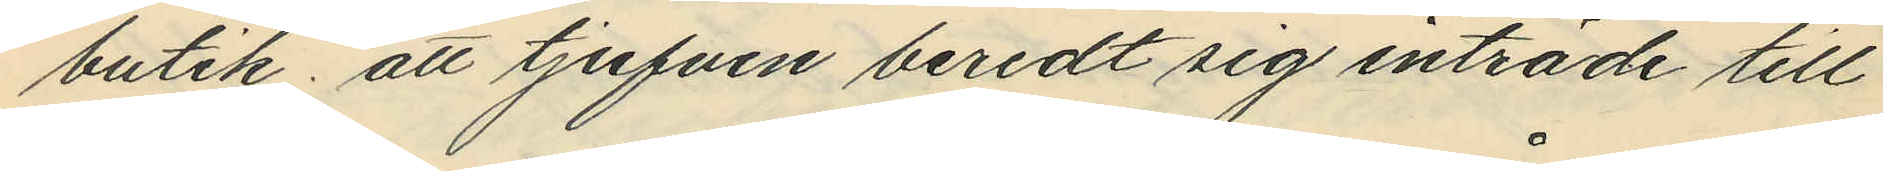butik; att tjufven beredt sig inträde till
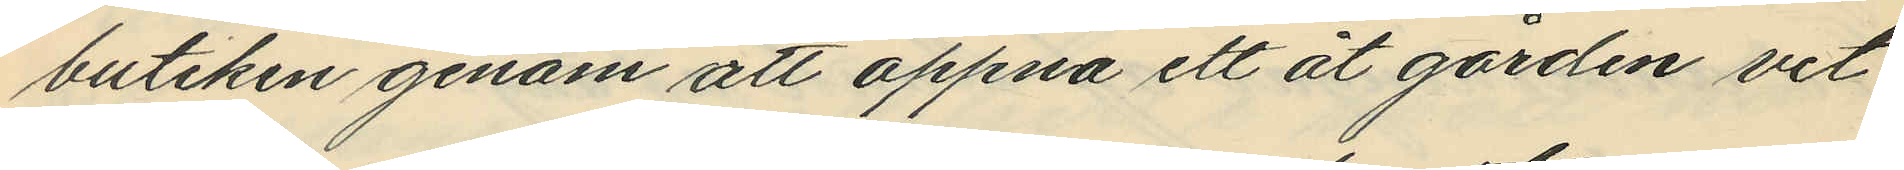butiken genom att öppna ett åt gården vet¬
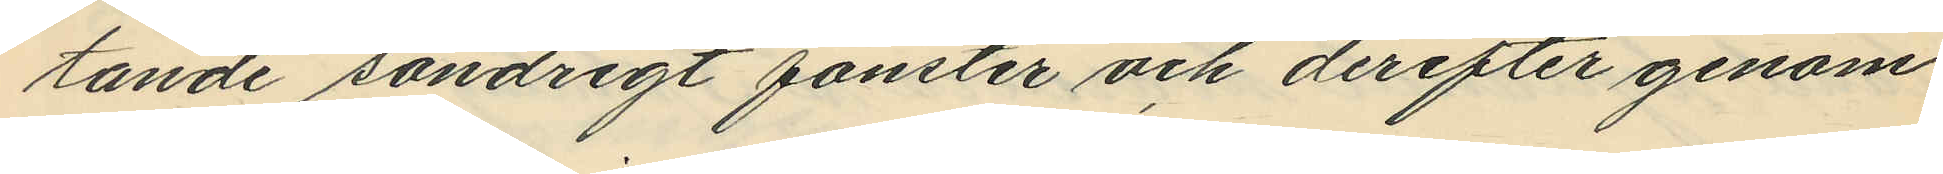tande söndrigt fönster och derefter genom
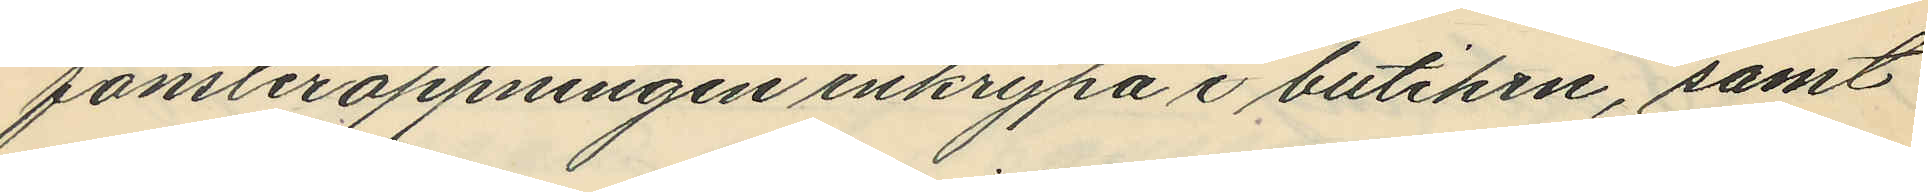fönsteröppningen inkrypa i butiken, samt
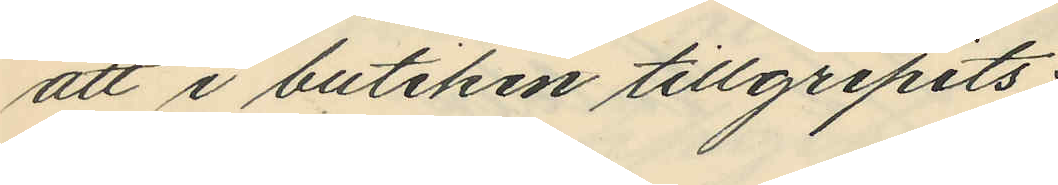att i butiken tillgripits:
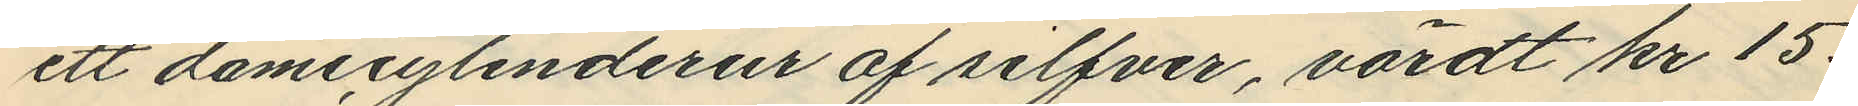ett damecylinderur af silfver, värdt kr 15:
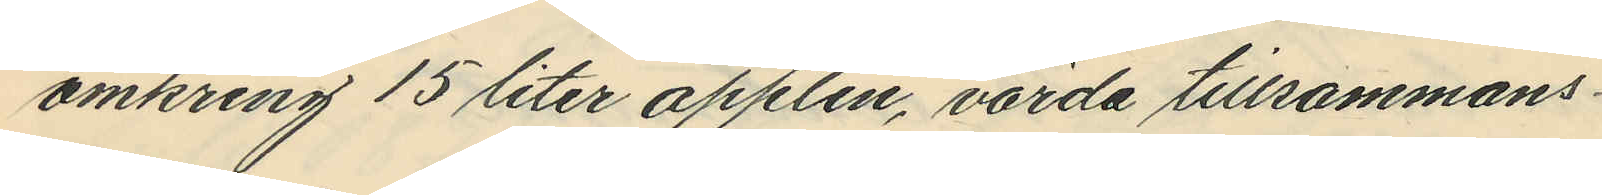omkring 15 liter äpplen, värda tillsammans
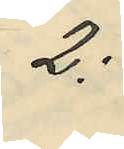2:
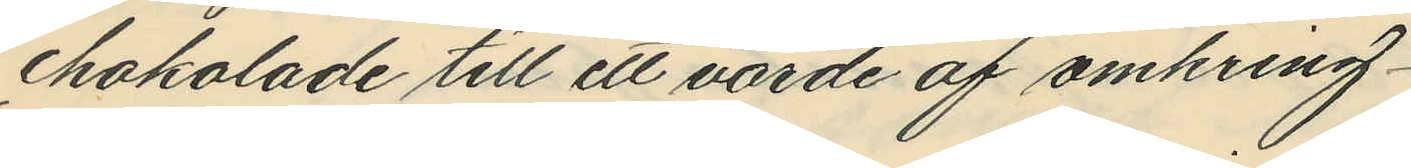chokolade till ett värde af omkring
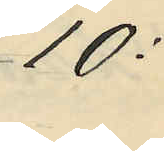10:
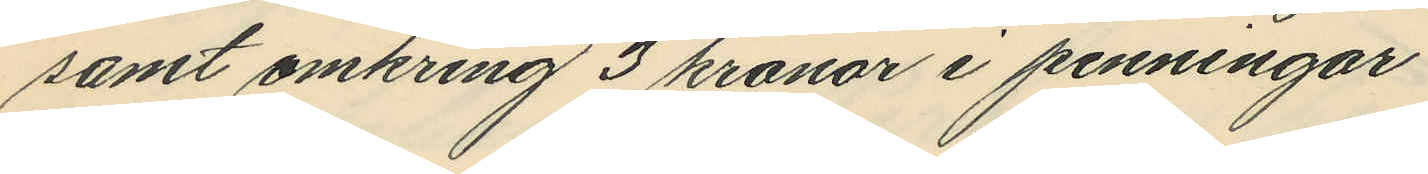samt omkring 3 kronor i penningar
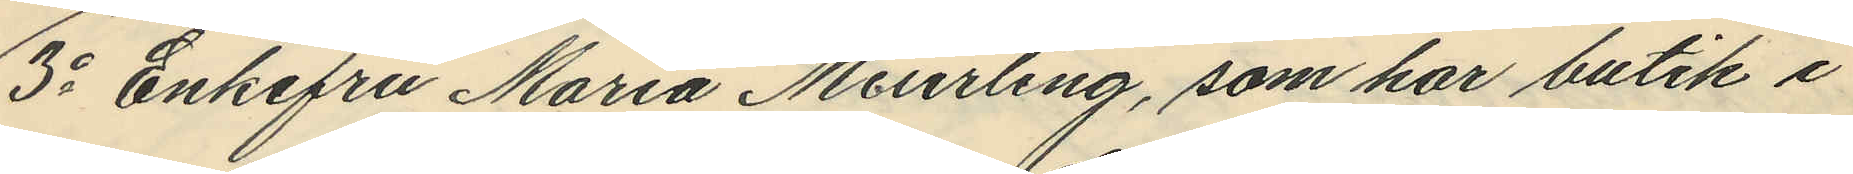3o Enkefru Maria Meurling, som har butik i
